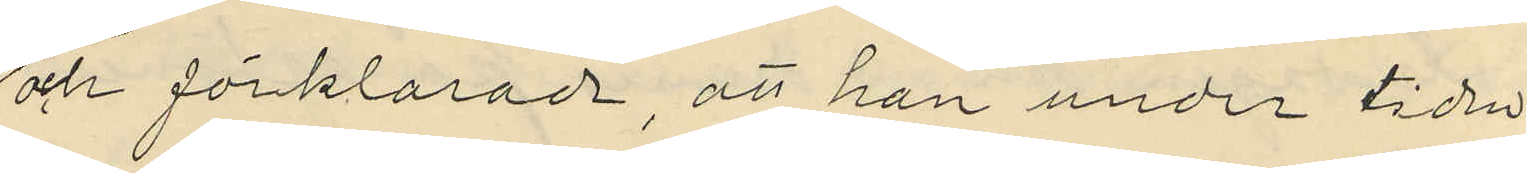och förklarade, att han under tiden
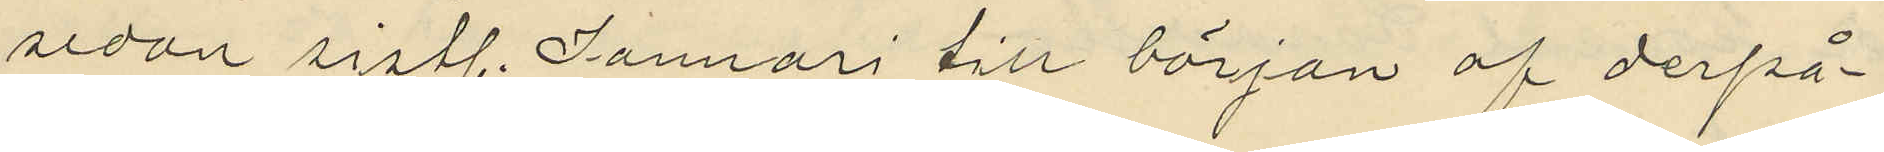sedan sistl. Januari till början af derpå¬
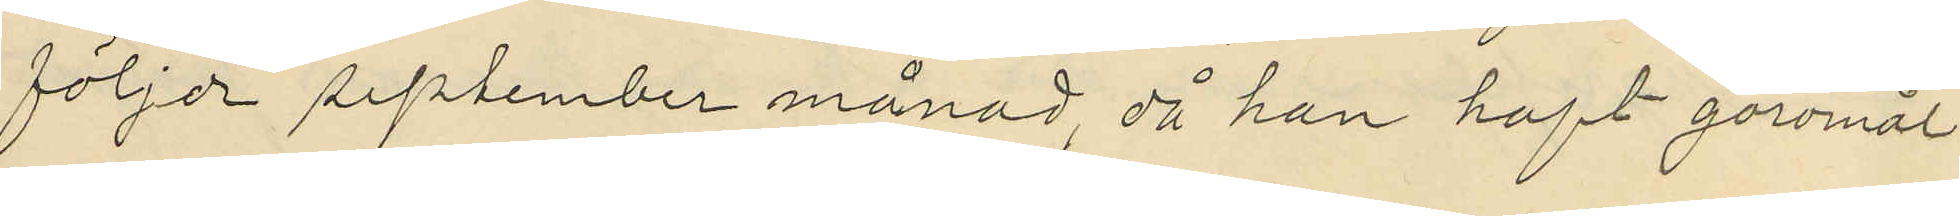följde september månad, då han haft goromål
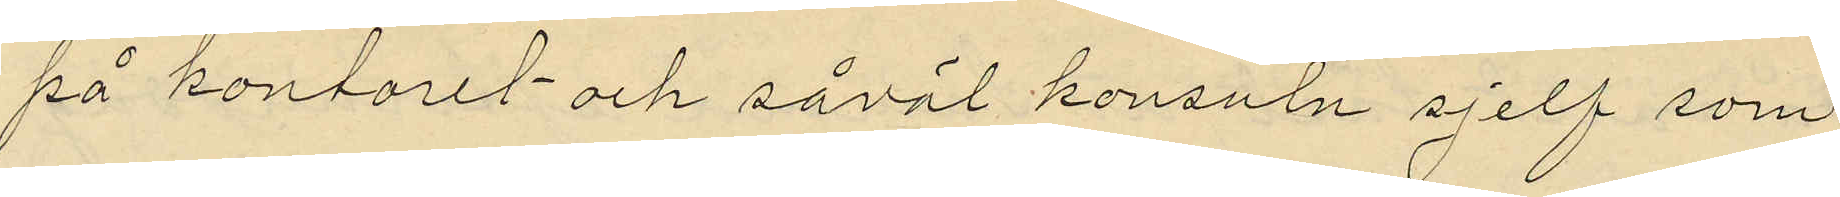på kontoret och såväl konsuln sjelf som
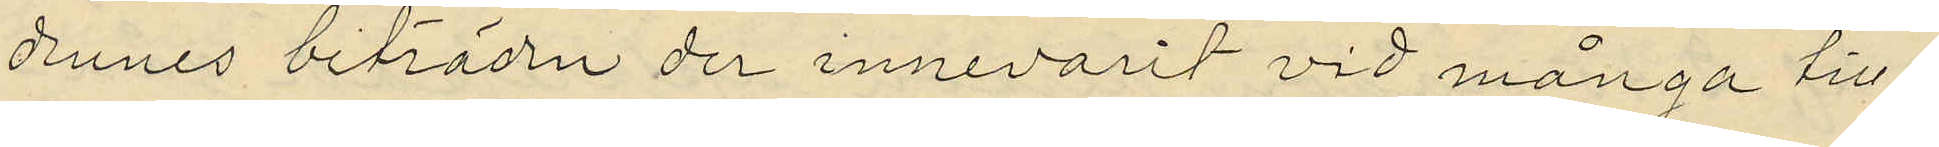dennes biträden der innevarit vid många till¬
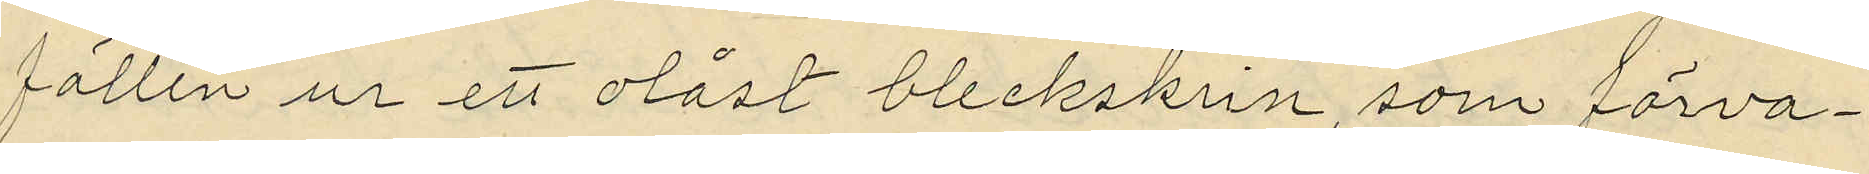fällen ur ett olåst bleckskrin, som förva¬
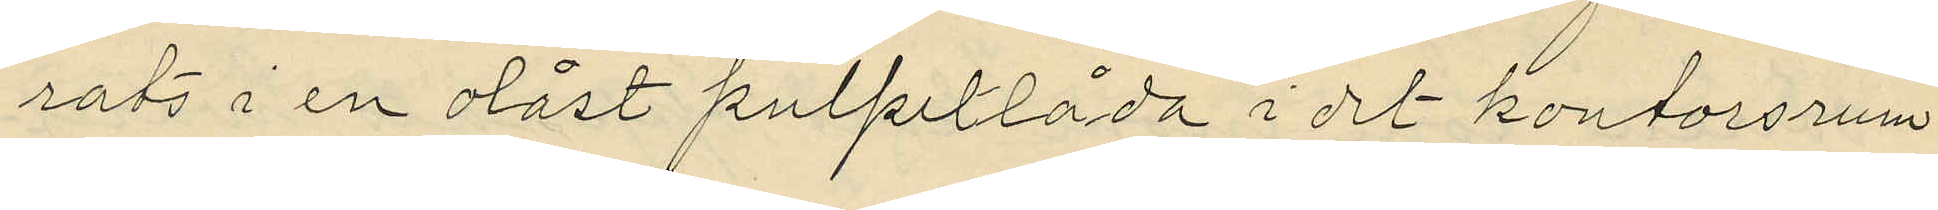rats i en olåst pulpetlåda i det kontorsrum
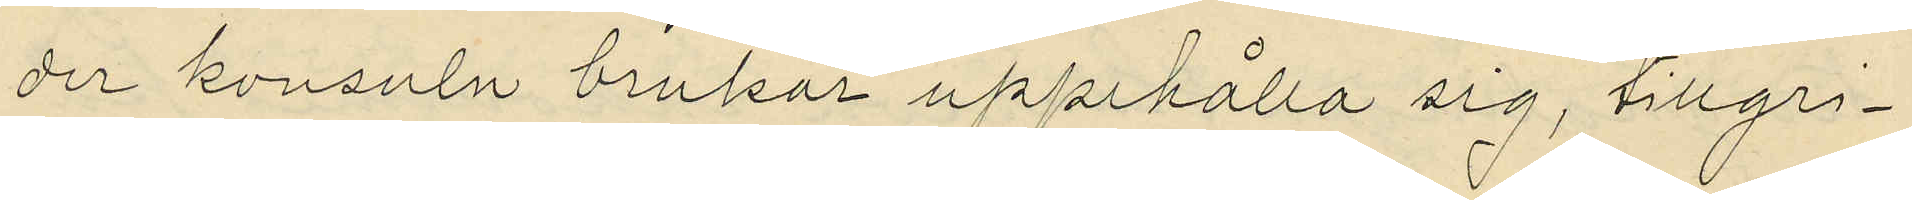der konsuln brukar uppehålla sig, tillgri¬
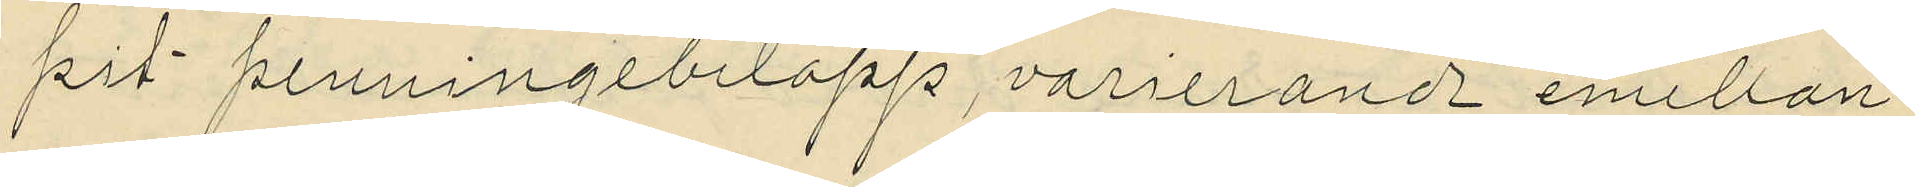pit penningebelopp, varierande emellan
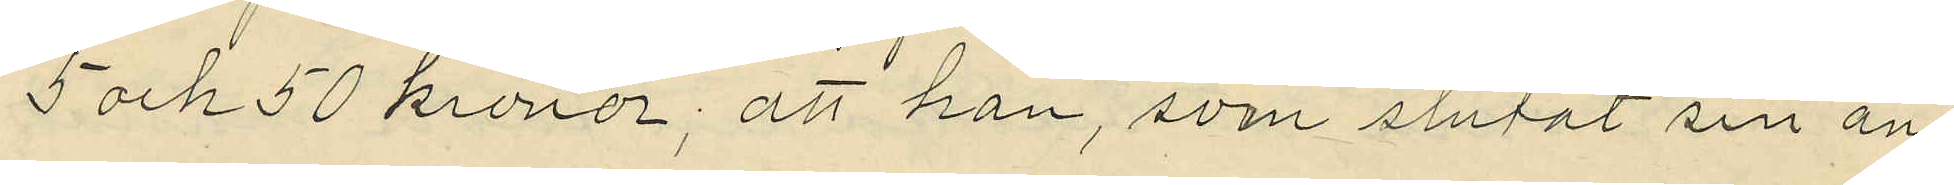5 och 50 kronor; att han, som slutat sin an¬
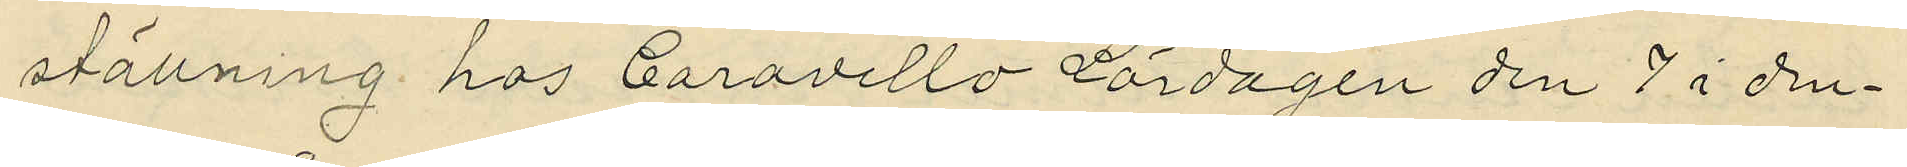ställning hos Caravello lördagen den 7 i den¬
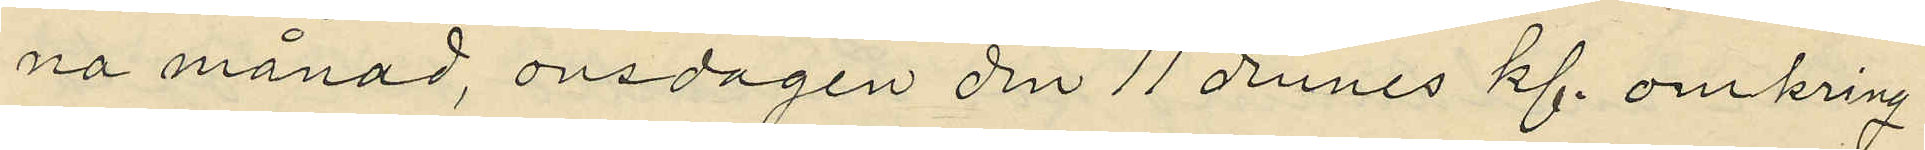na månad, onsdagen den 11 dennes kl. omkring
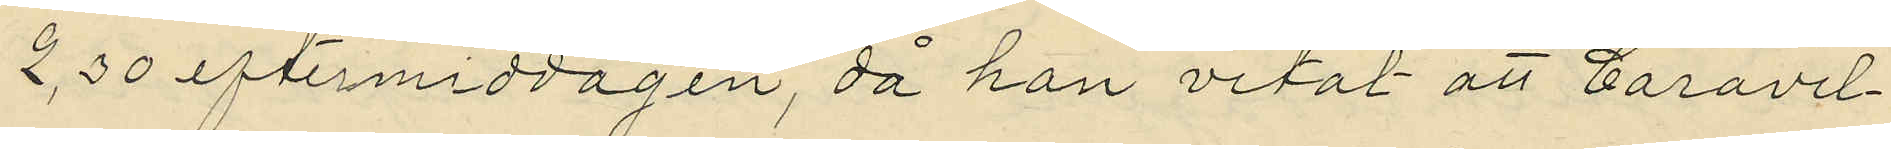2,30 eftermiddagen, då han vetat att Caravel¬
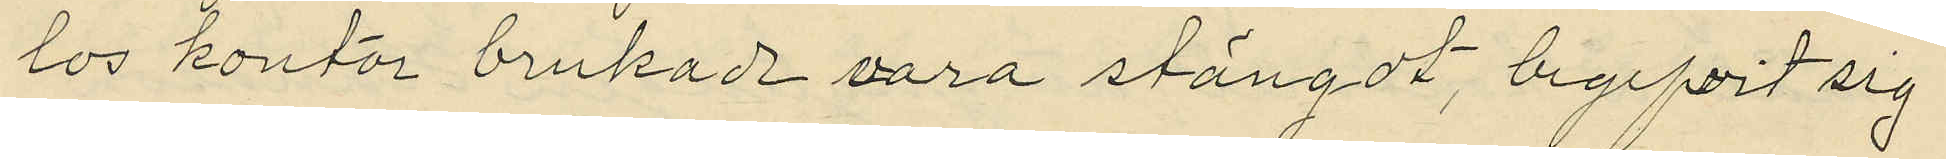los kontor brukade vara stängdt, begifvit sig
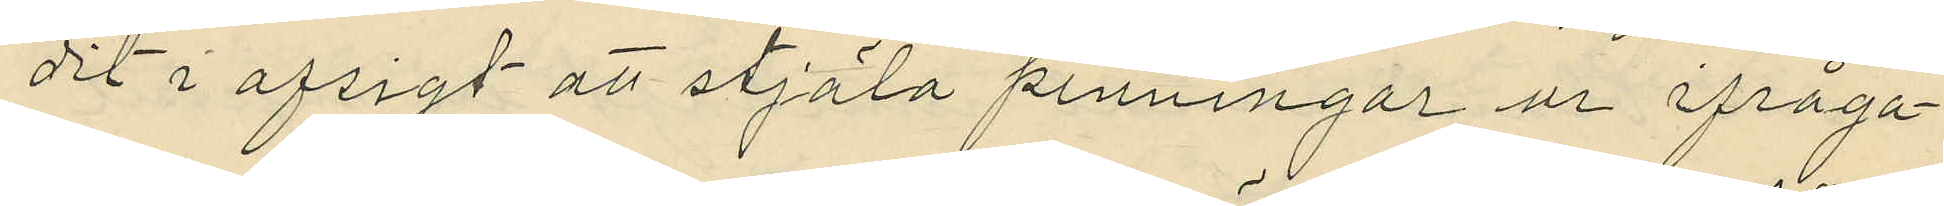dit i afsigt att stjäla penningar ur ifråga¬
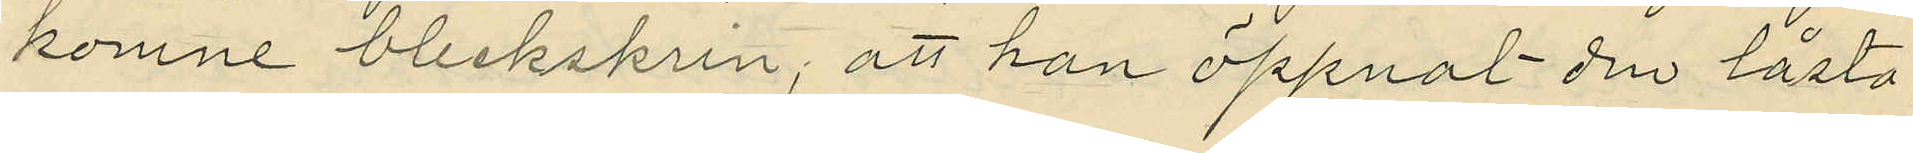komne bleckskrin; att han öppnat den låsta
